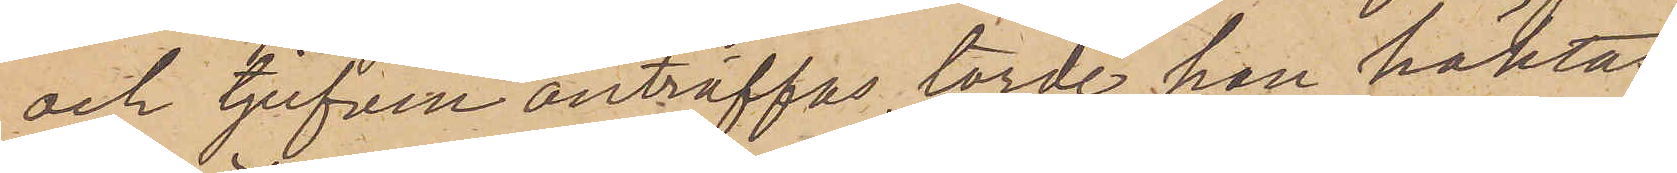och tjufven anträffas torde han häktas
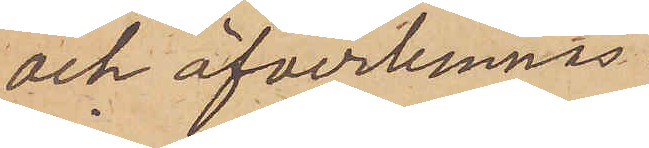och öfverlemnas
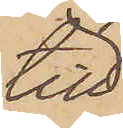till
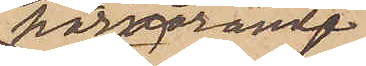härvarande
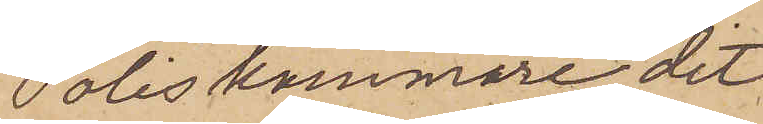Poliskammare, dit
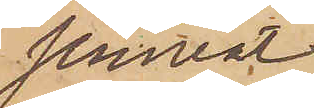jemväl
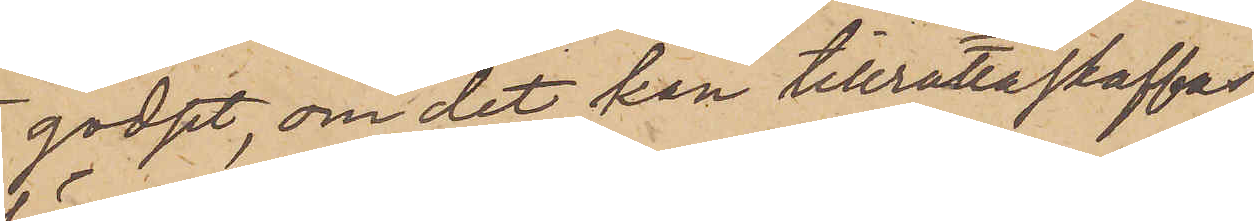godset, om det kan tillrättaskaffas,
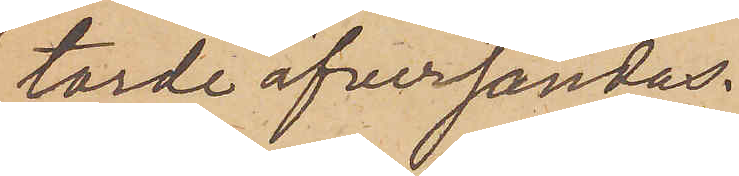torde öfversändas.
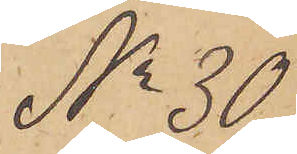No 30
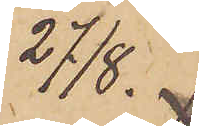27/8.
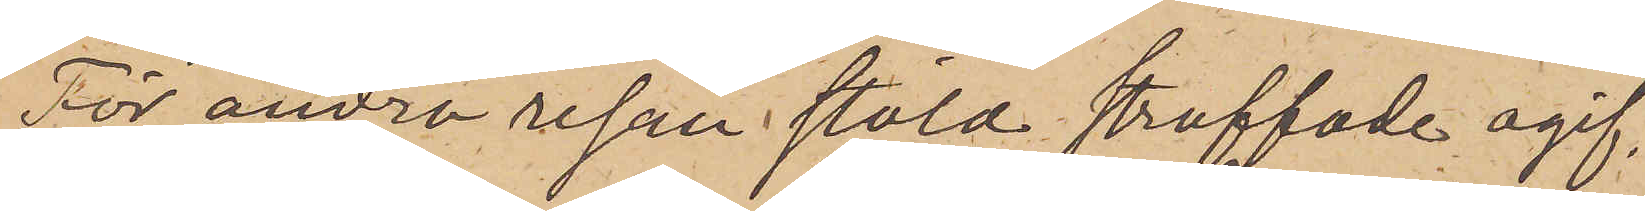För andra resan stöld straffade ogif¬
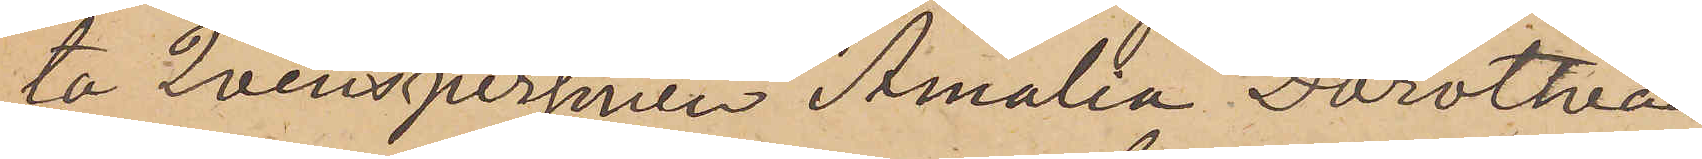ta Qvinspersonen Amalia Dorothea
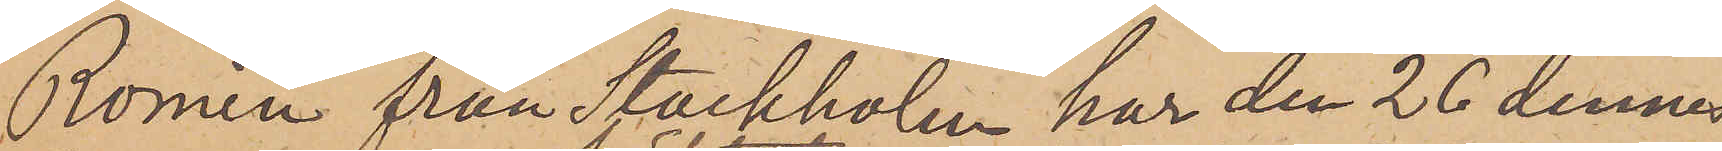Romin från Stockholm har den 26 dennes
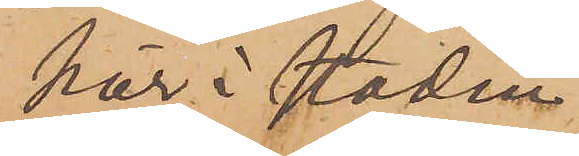här i staden
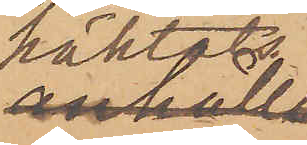häktats
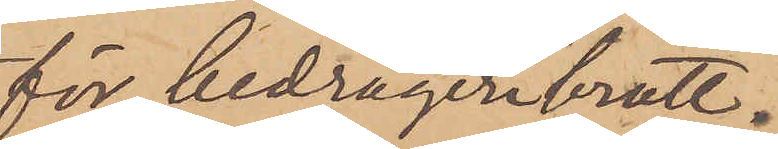för bedrägeribrott.
